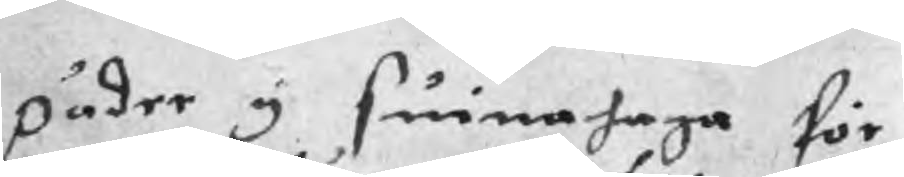päder y suinahaga för
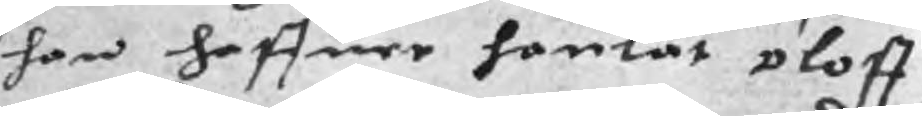han haffuer hanlat oloff
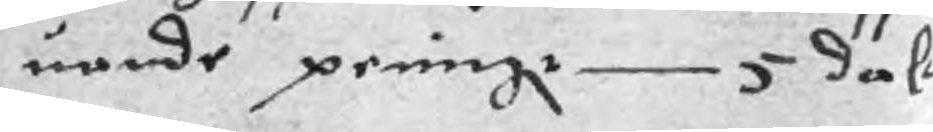uande peningr 5 dale
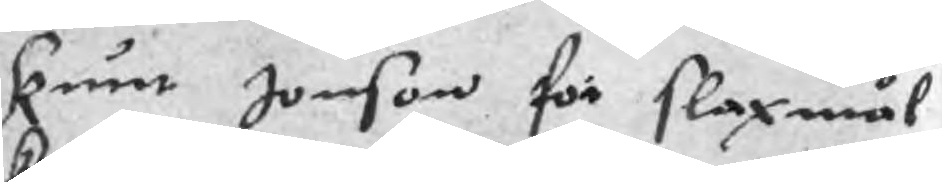knut Jonson för slaxmål
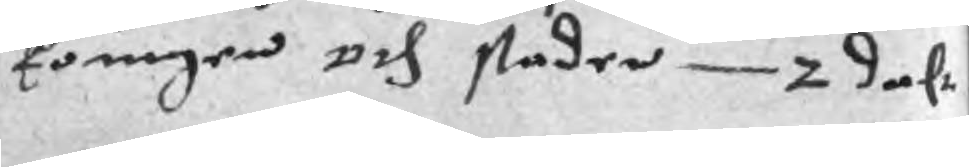koungen och staden 2 dalr
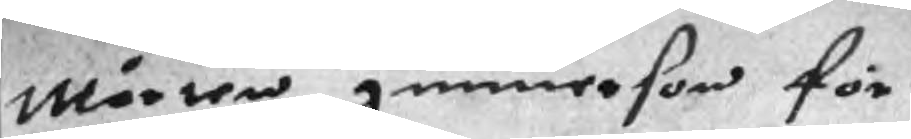Mårten gunnerson för
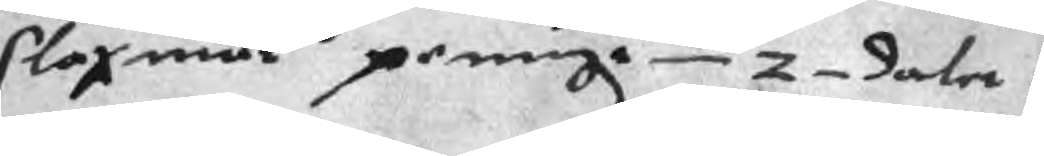slaxmål peningr 2 daler
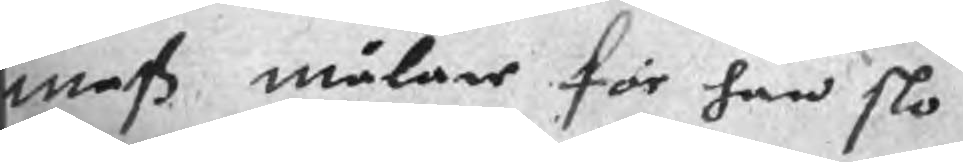mats målare för han slo
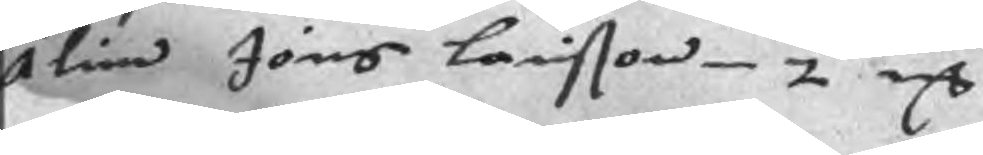Älin Jöns Larisson 2 mC
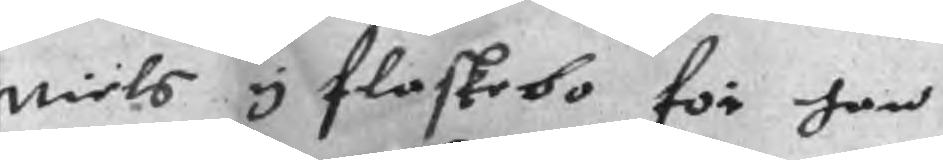niels y flaskebo för han
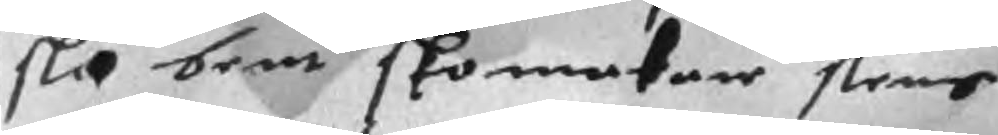slo bent skomakare slens
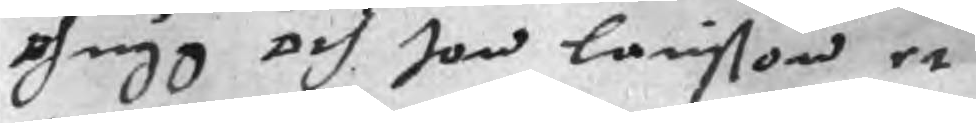ohugg och Jon Larisson et
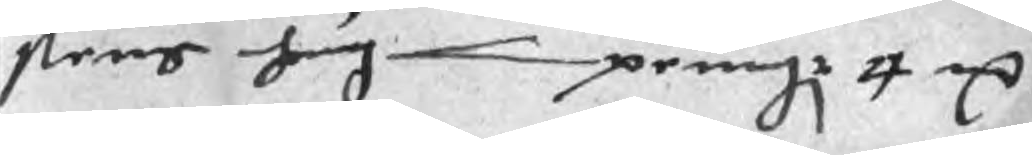slens hug penngr 4 mC
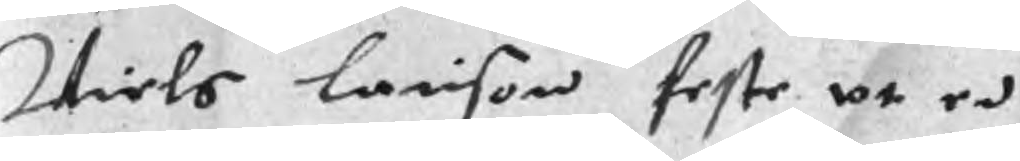Niels Larison feste vt en
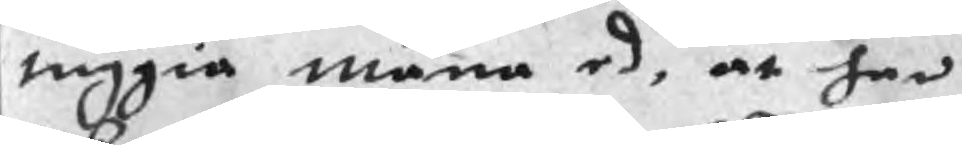tuggia mäna ed, at han
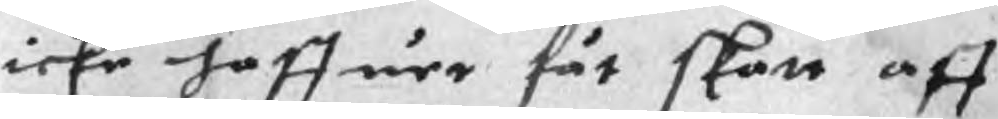icke haffuer fåt skatt aff
